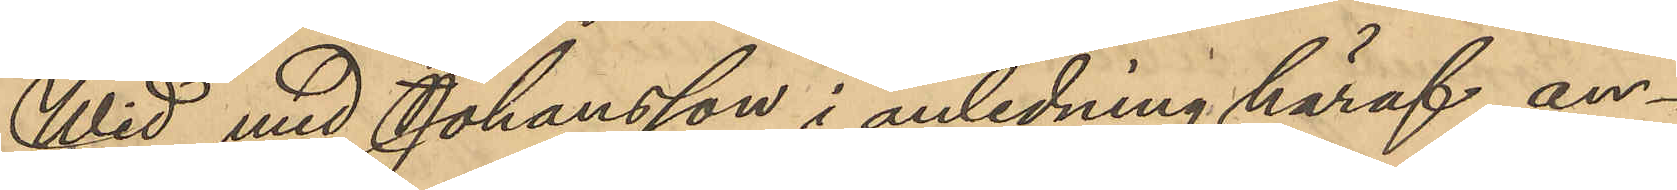Wid med Johansson i anledning häraf an¬
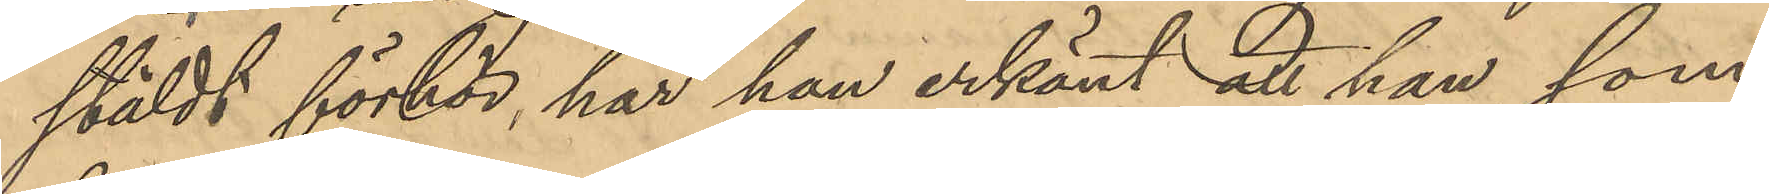stäldt förhör, har han erkänt att han, som
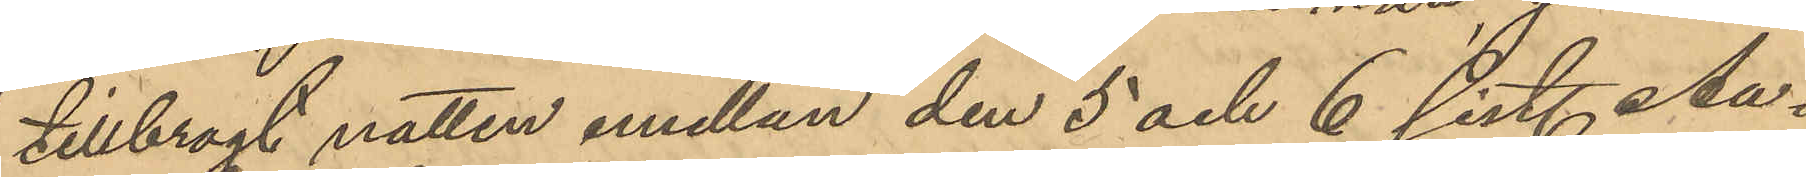tillbrogt natten emellan den 5 och 6 sist. Au¬
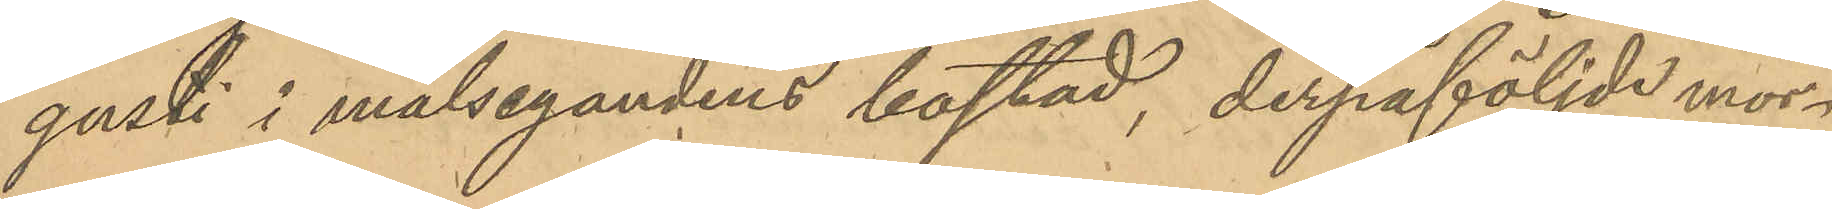gusti i målsegandens bostad, derpåföljde mor¬
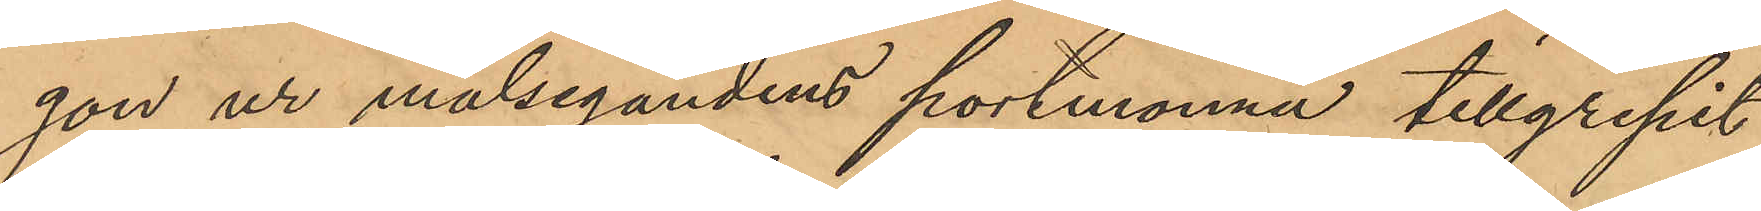gon ur målsegandens portmonnä tillgripit
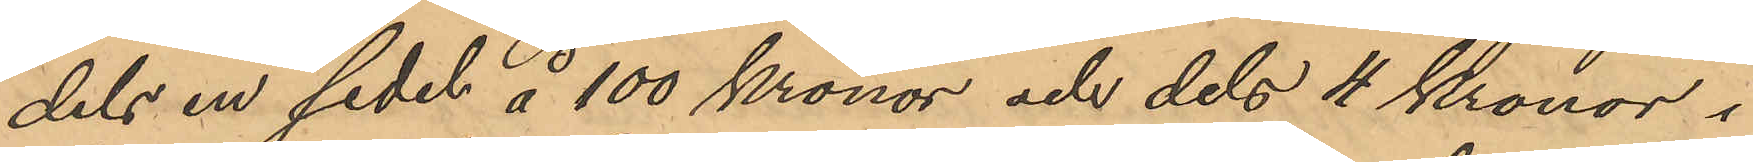dels en sedel å 100 Kronor och dels 4 Kronor i
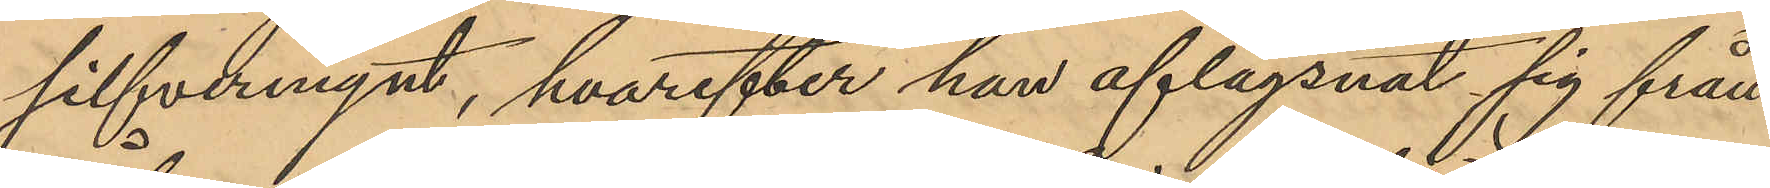silfvermynt, hvarefter han aflägsnat sig från
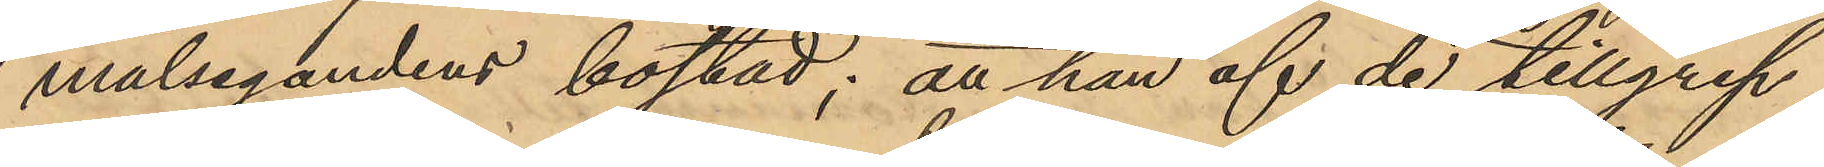målsegandens bostad; att han af de tillgrep¬
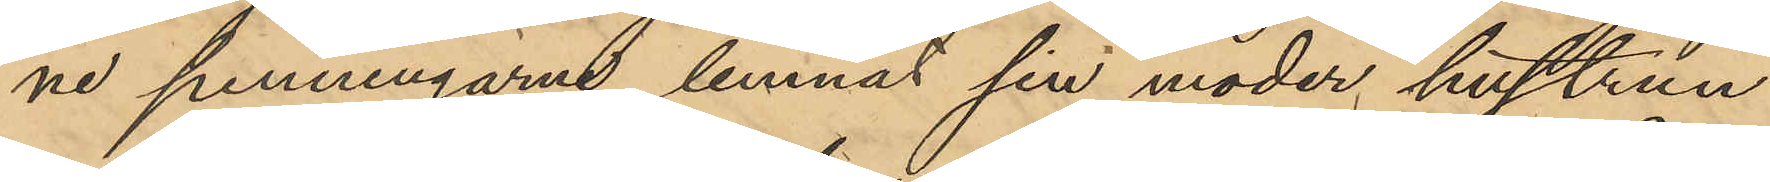ne penningarne lemnat sin moder hustrun
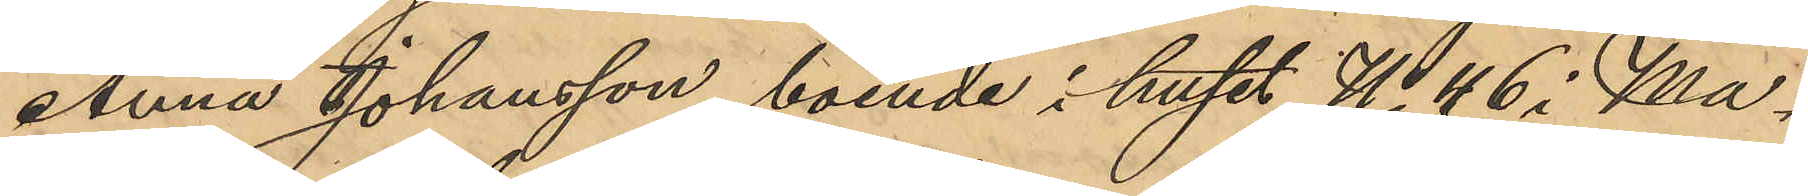Anna Johansson, boende i huset No 46 i Ma¬
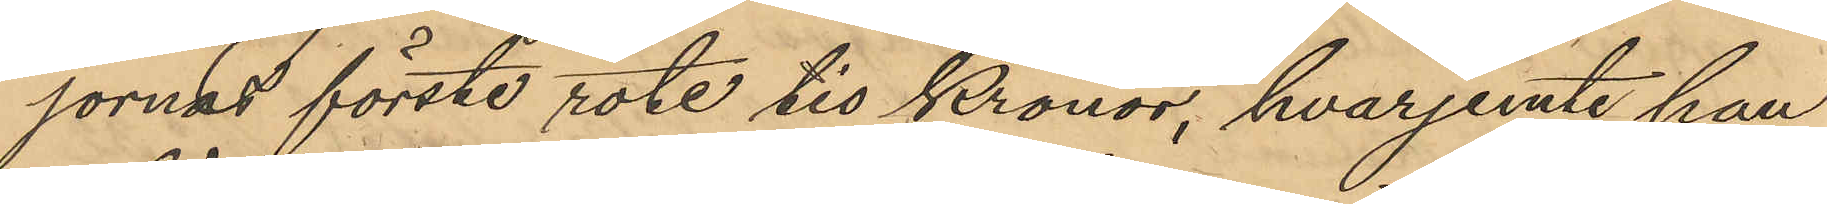jornas förste rote tio Kronor, hvarjemte han
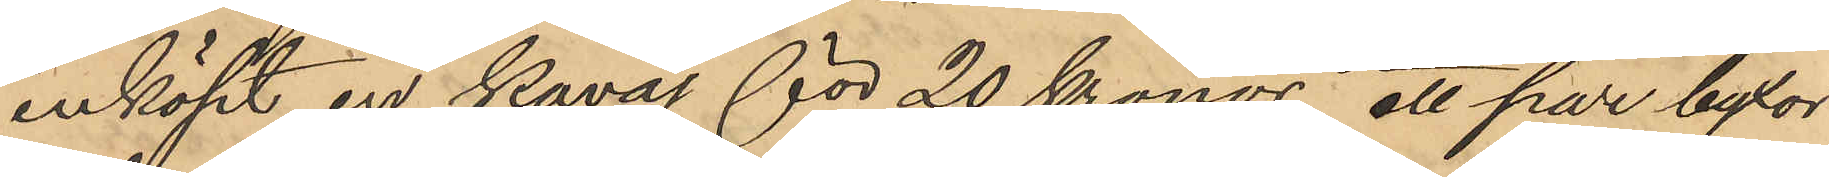inköpt en kavaj för 20 Kronor, ett par byxor
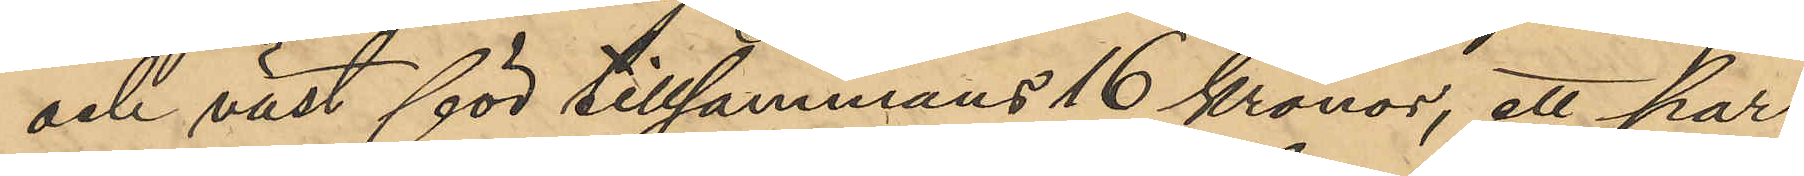och väst för tillsammans 16 Kronor, ett par
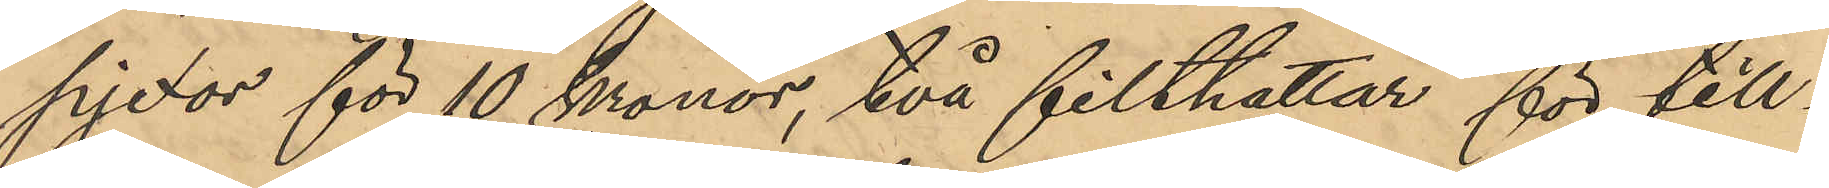pjexor för 10 Kronor, två filthattar för till¬
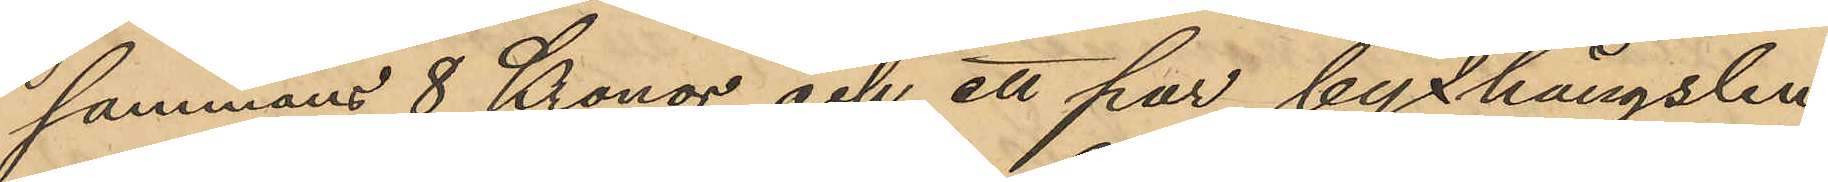sammans 8 Kronor och ett par byxhängslen 
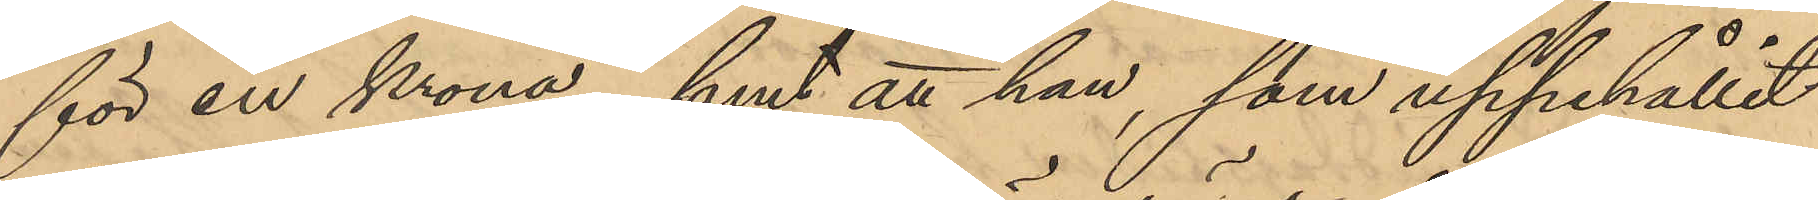för en krona; samt att han, som uppehållit
